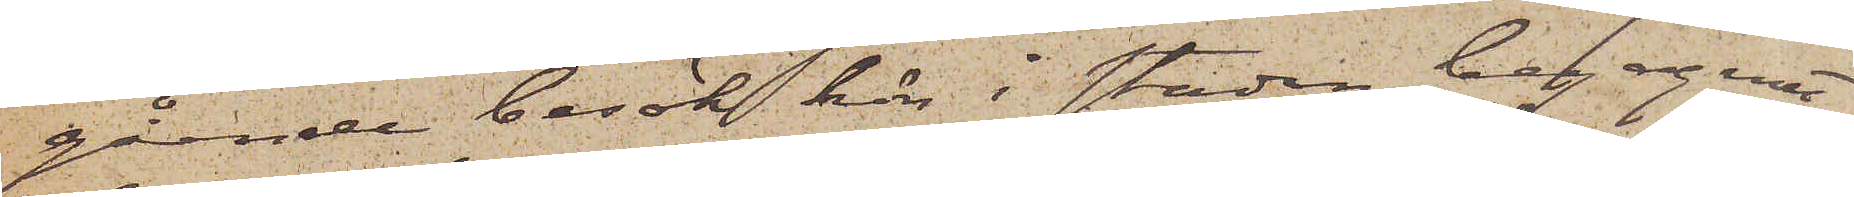gående besök här i staden begagnat,
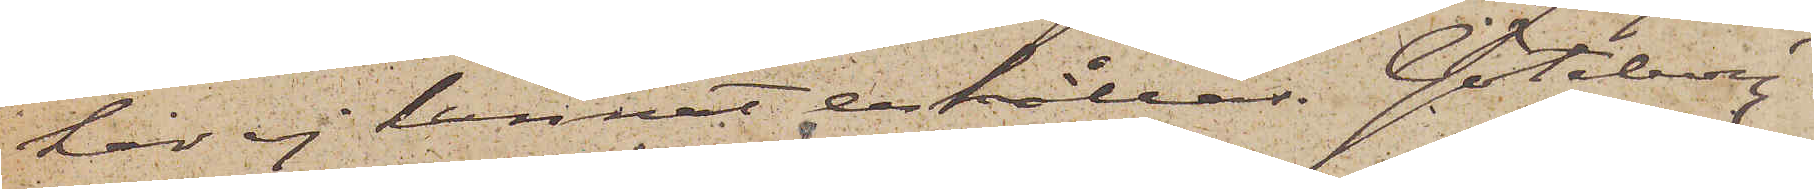har ej kunnat erhållas. Göteborg
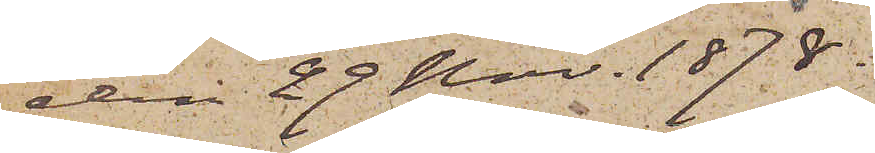den 29 Nov. 1878.
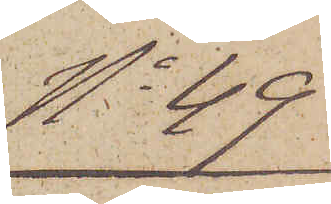No 49.
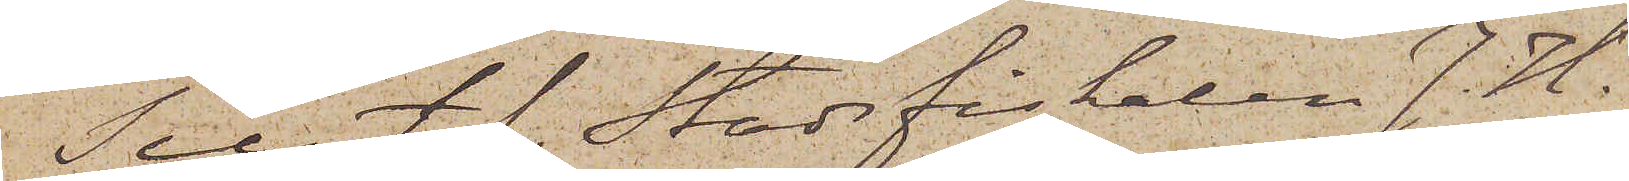Till t.f. Stadsfiskalen J. H.
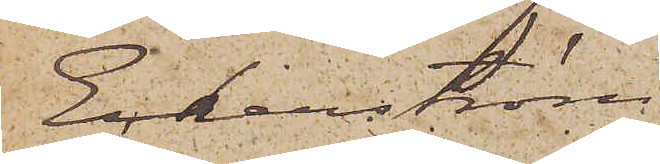Eckerström
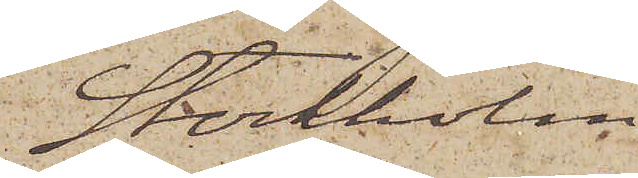Stockholm.
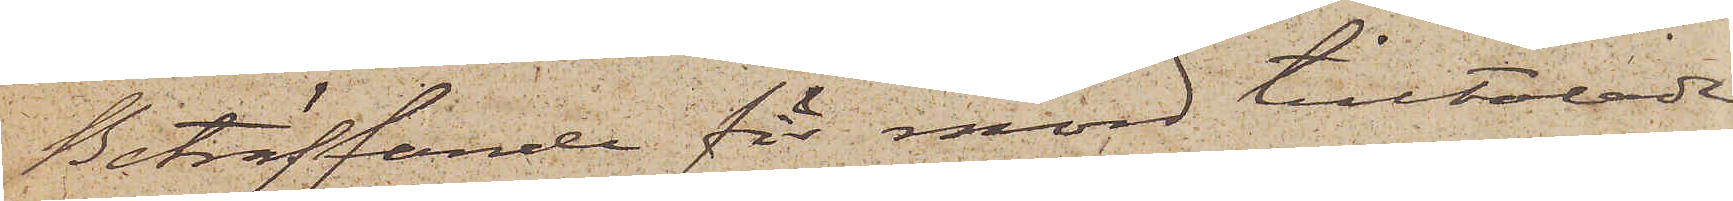Beträffande för mord tilltalade
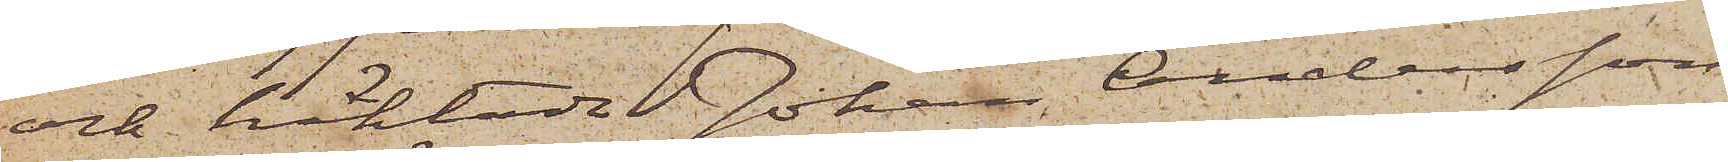och häktade Johan Andersson
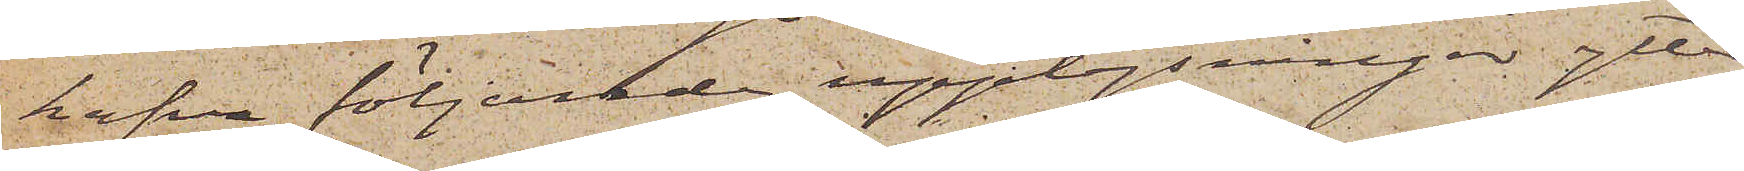hafva följande upplysningar ytter¬
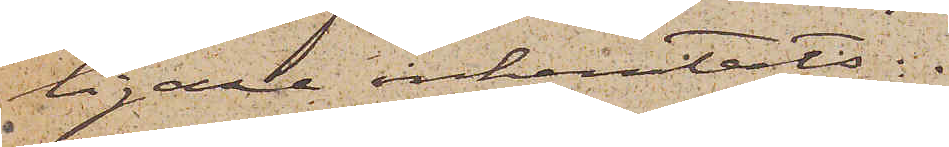ligare inhemtats:
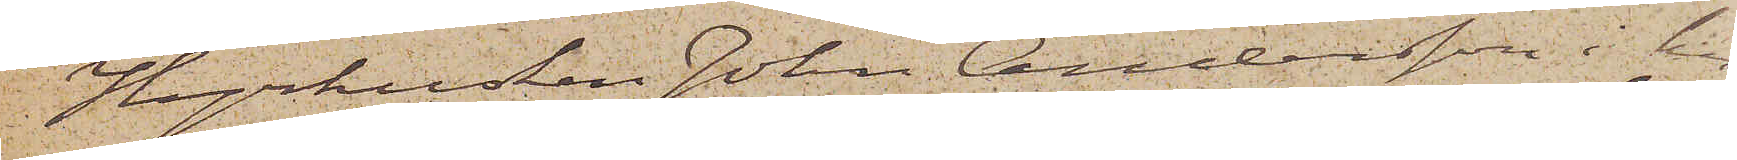Hyrkusken Johan Andersson i hu¬
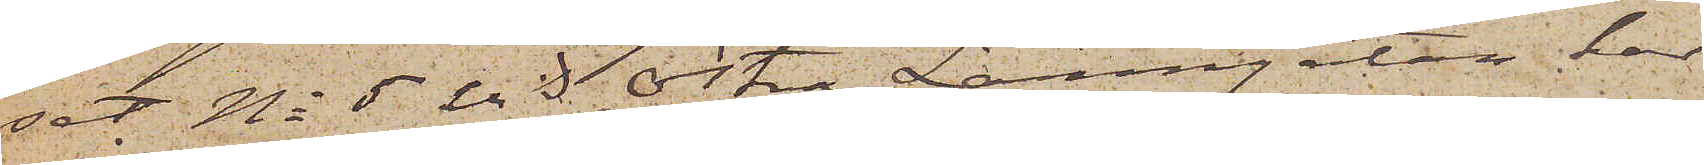set No 5 vid Östra Larmgatan, har
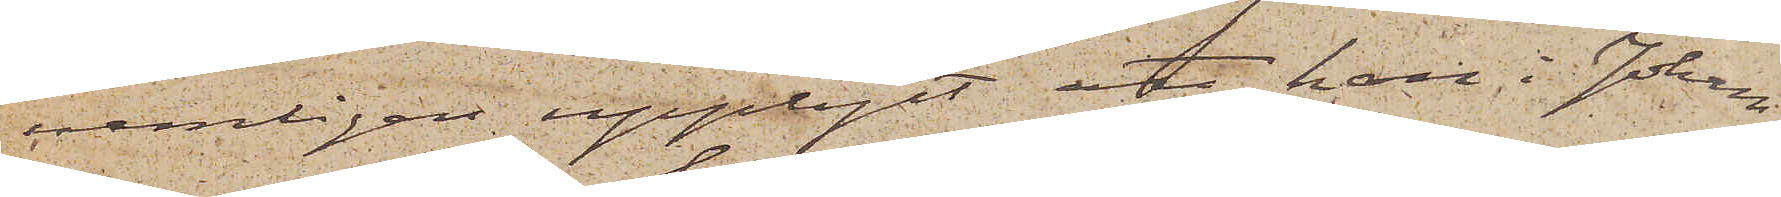nämligen upplyst, att han i Johan
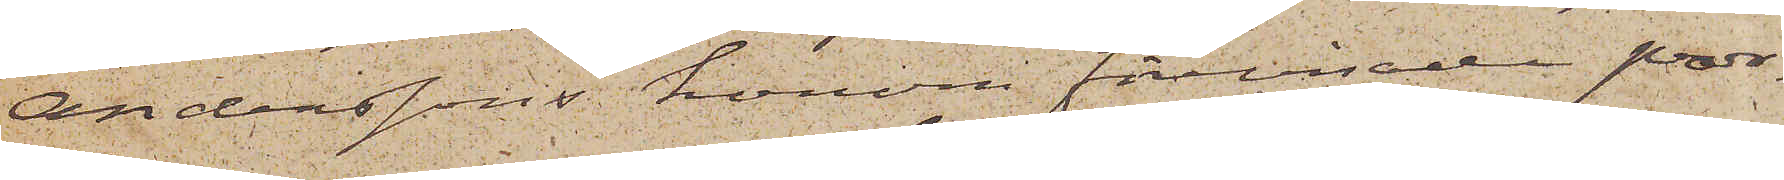Anderssons honom förevisade por¬
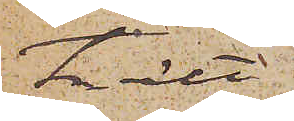trätt
